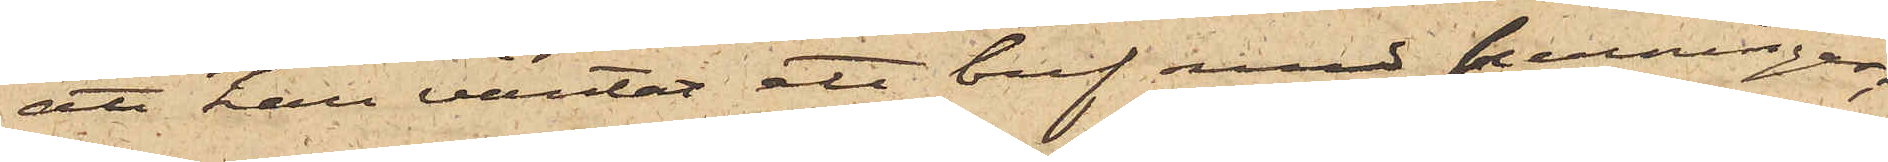att han väntat ett bref med penningar,
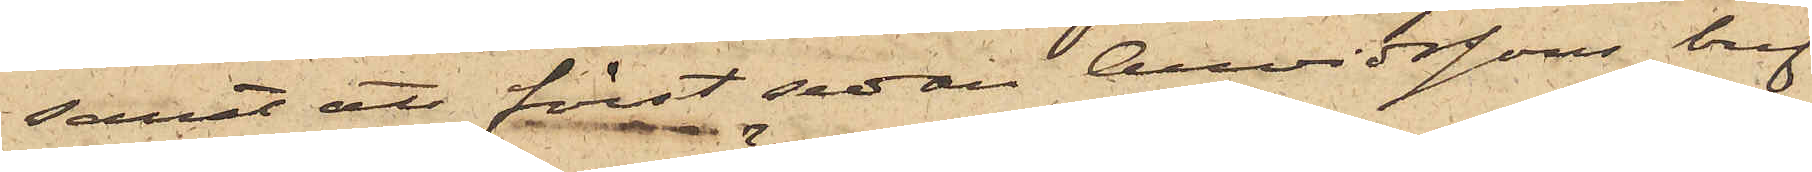samt att först sedan Arvidssons bref
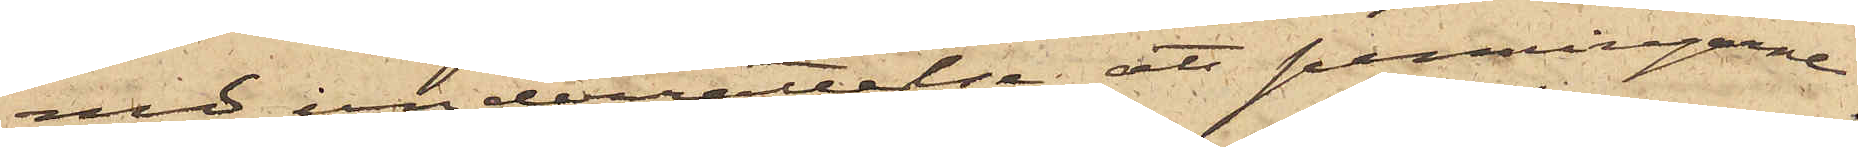med underrättelse att penningarne
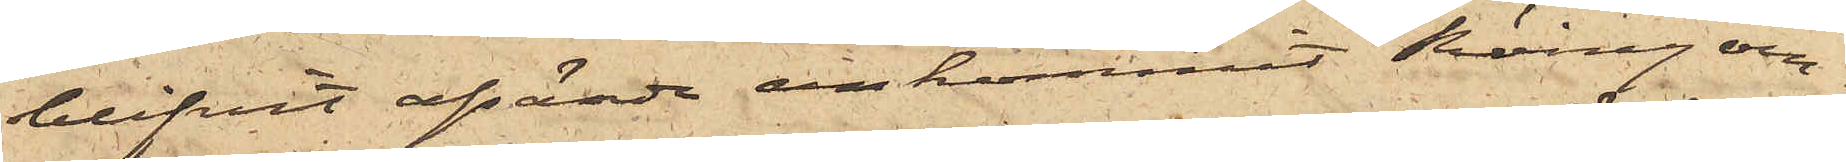blifvit afsände ankommit Röing om¬
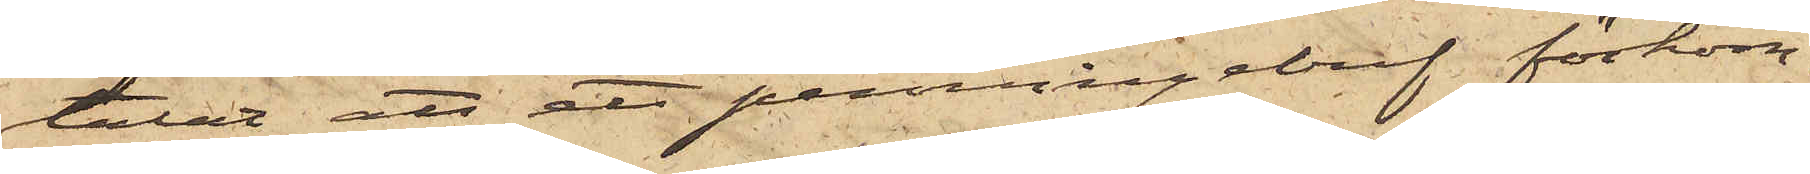talat att ett penningebref förkom¬
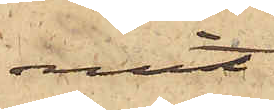mit.
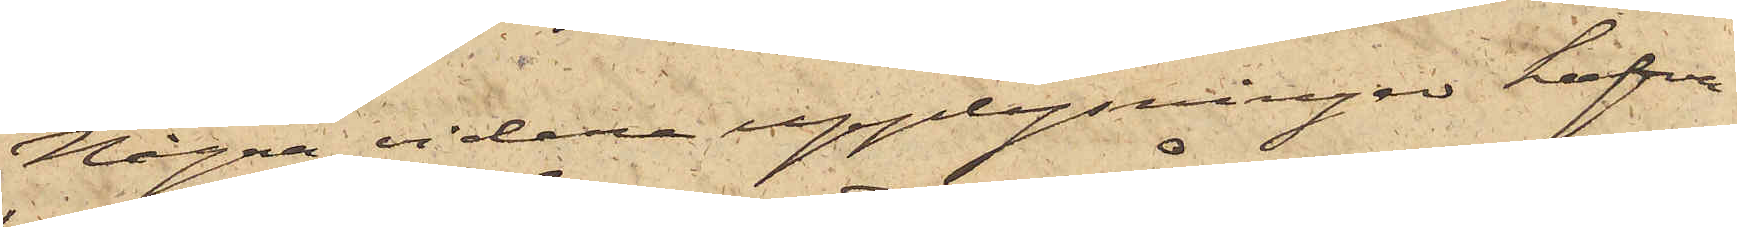Några vidare upplysningar hafva
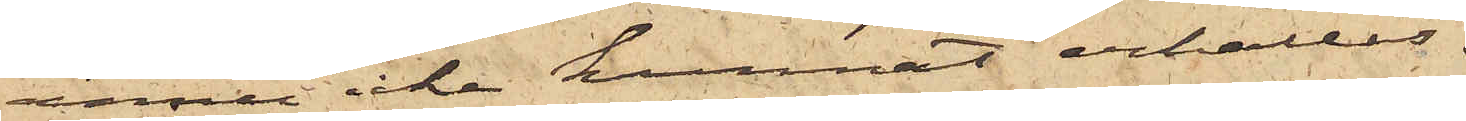ännu icke kunnat erhållas.
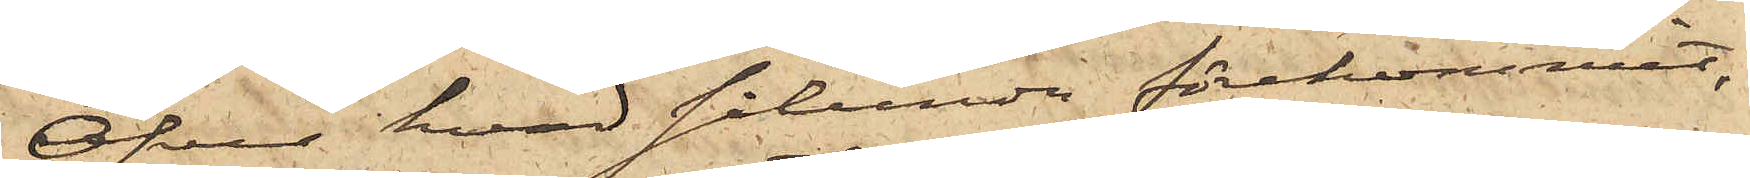Öfver hvad sålunda förekommit,
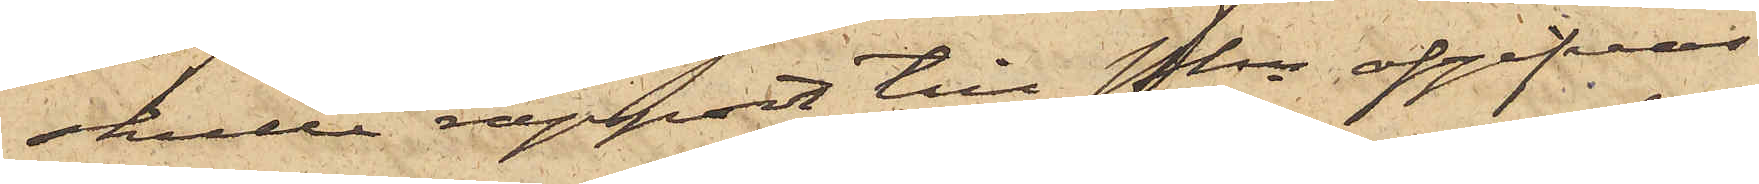skulle rapport till Pkn afgifvas
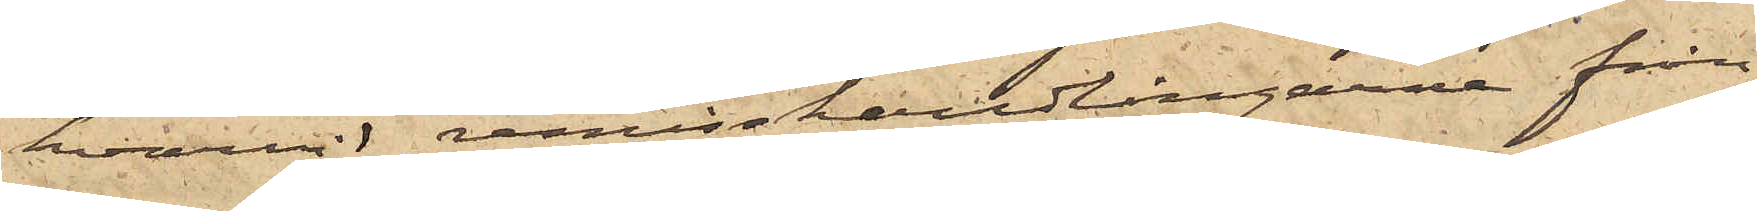hvarvid remisshandlingarne från
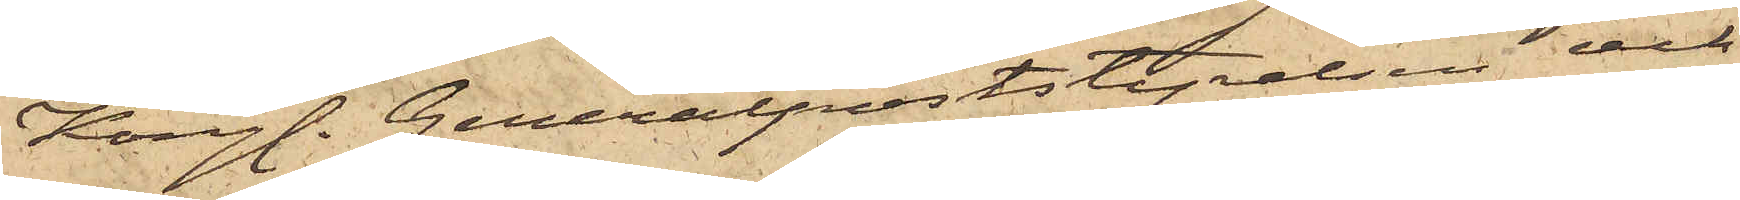Kungl. Generalpoststyrelsen och
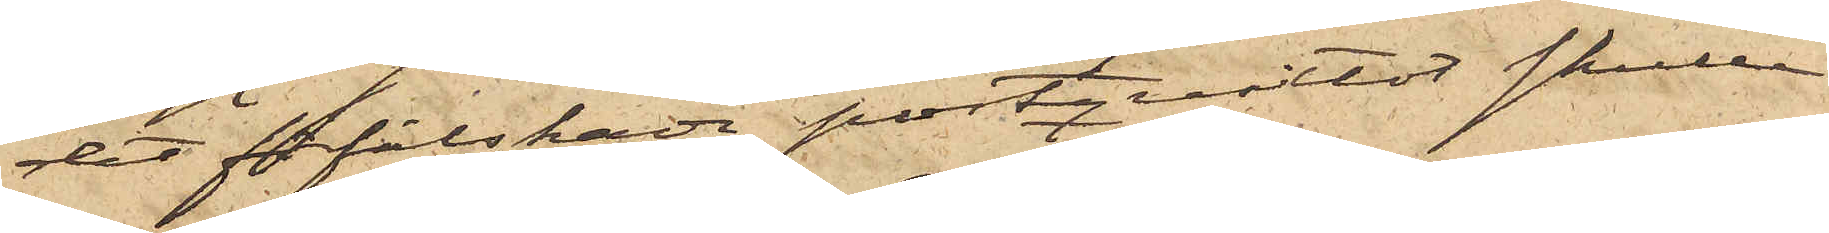det förfalskade postqvittot skulle
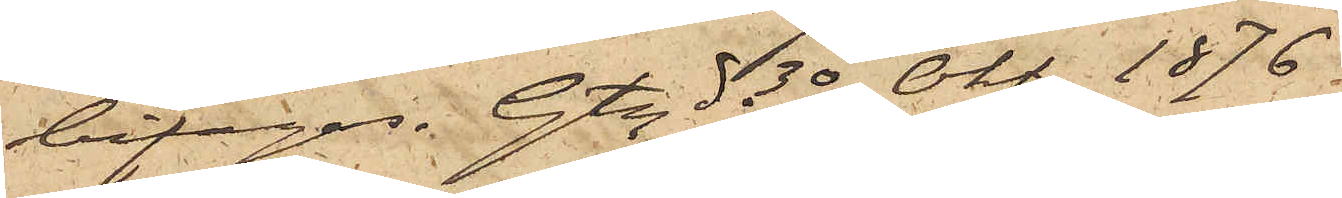bifogas. Gtg d. 30 Okt. 1876.
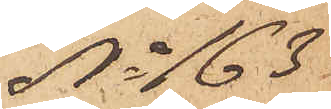No 163.
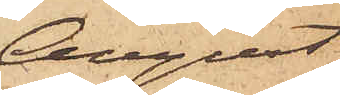August
